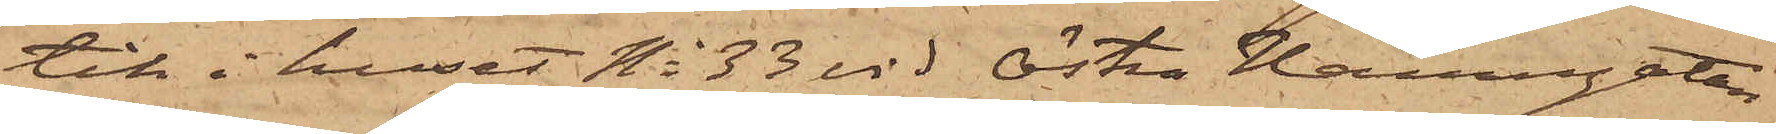tik i huset No 33 vid Östra Hamngatan
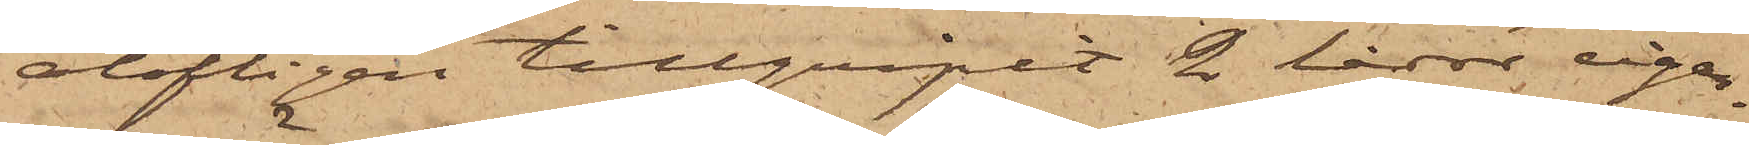olofligen tillgripit 2 lådor cigar¬
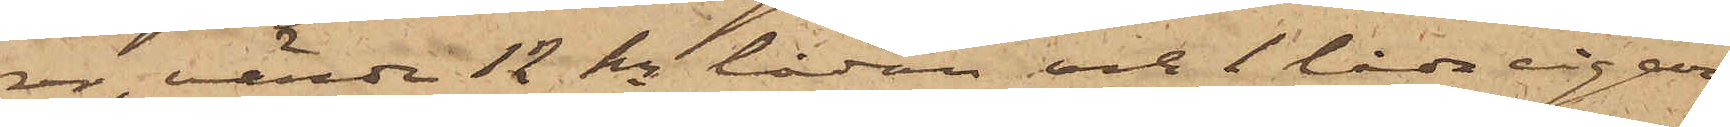rer, värda 12 kr lådan och 1 låda cigar¬
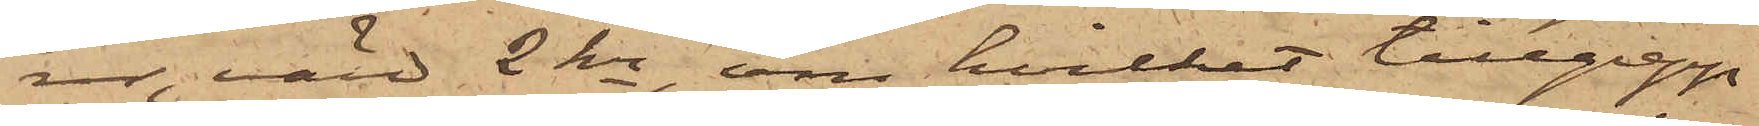er, värd 2 kr, om hvilket tillgrepp
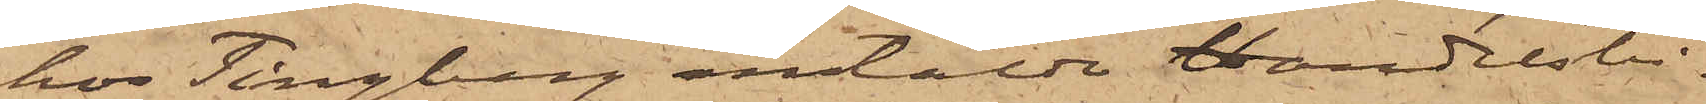hos Tingberg anstälda handelsbi¬
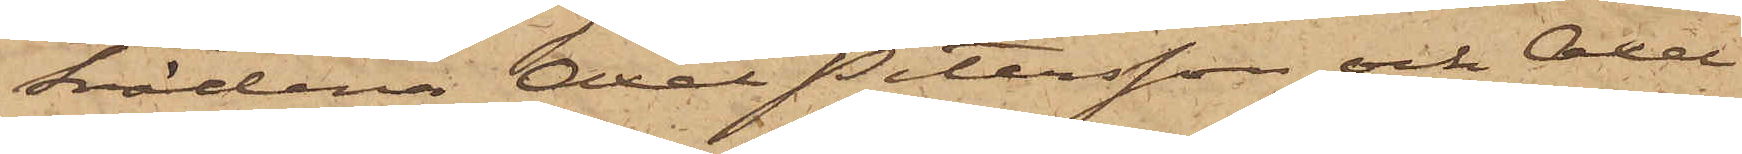trädena Axel Petersson och Axel
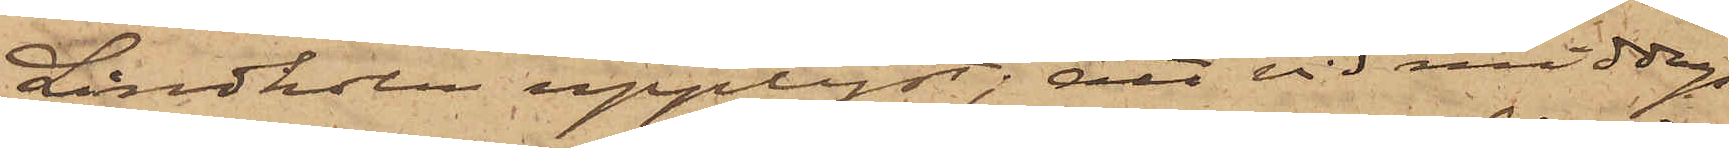Lindholm upplyst; att vid middags¬
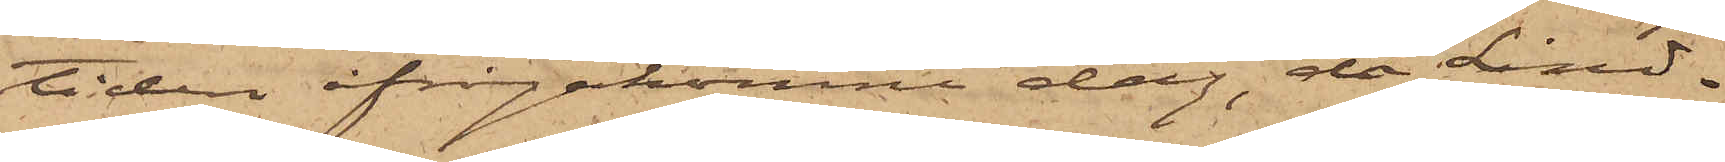tiden ifrågakomne dag, då Lind¬
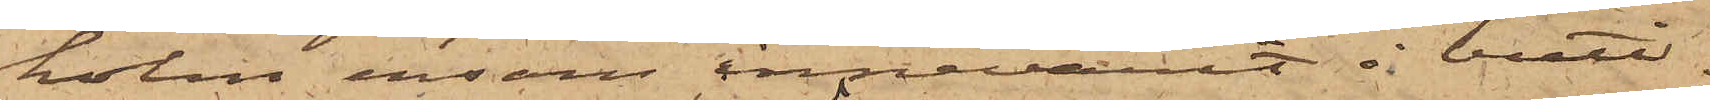holm ensam innevarit i buti¬
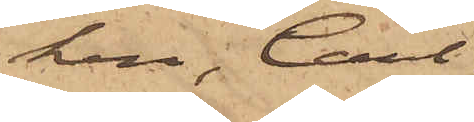ken, Carl
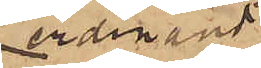Ferdinand
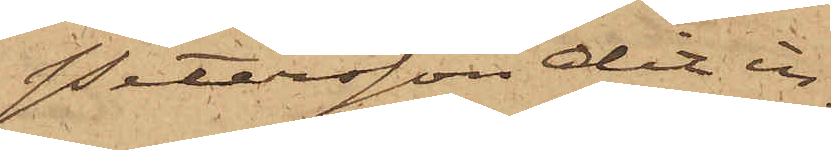Petersson dit in¬
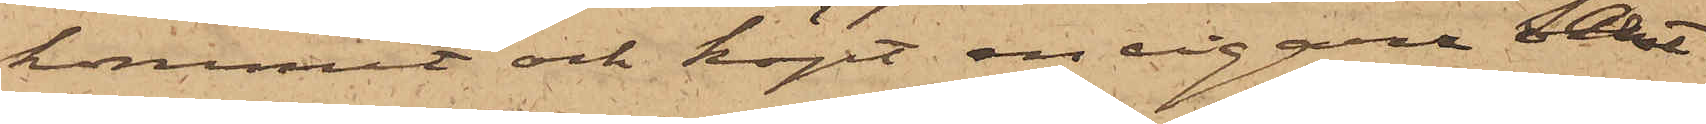kommit och köpt en cigarr samt
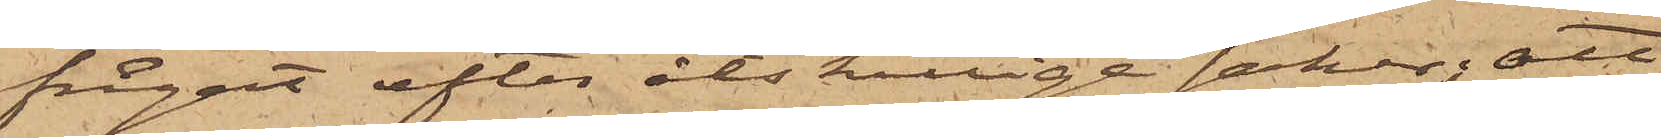frågat efter åtskillige saker; att
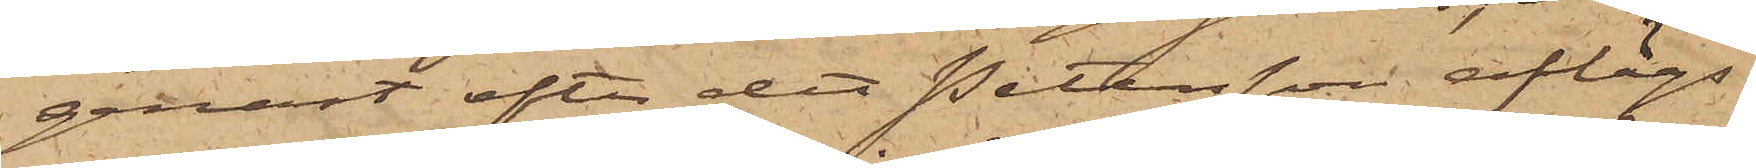genast efter det Petersson aflägs¬
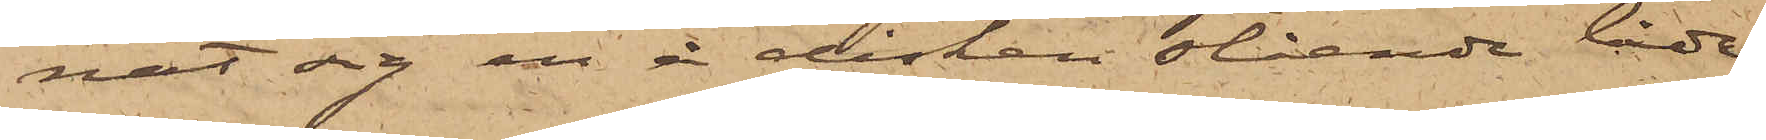nat sig en å disken stående låda
